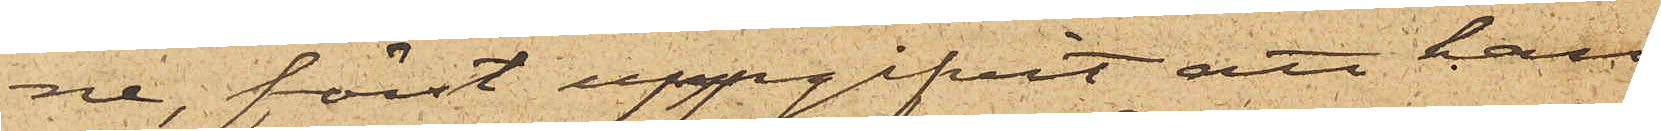ne, först uppgifvit att han
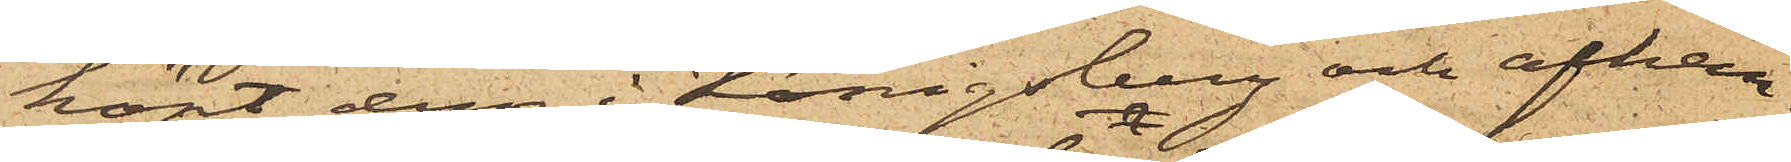köpt dem i Königsberg och afhäm¬
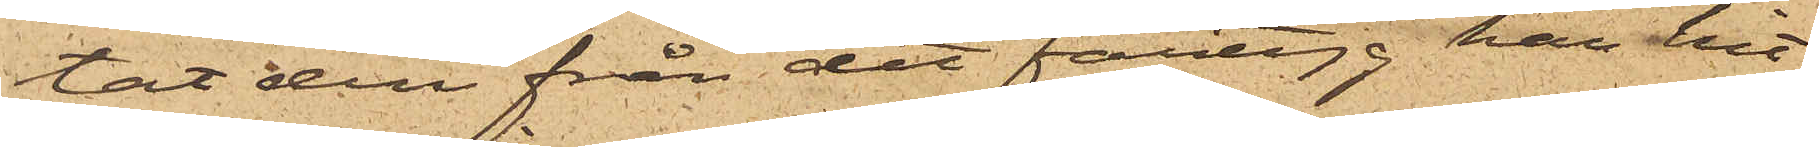tat den från det fartyg, han hit¬
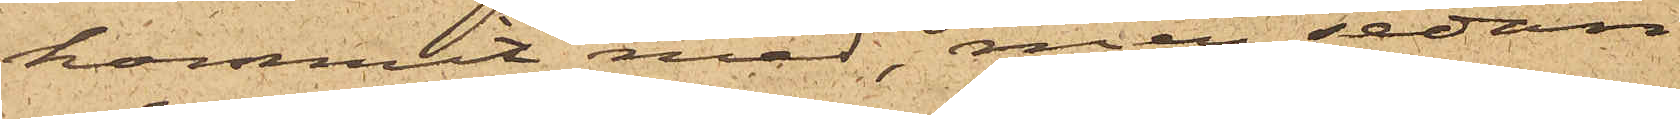kommit med, men sedan
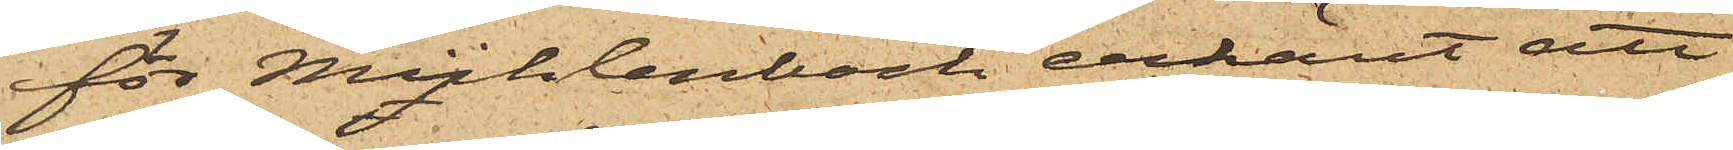för Mühlenbock erkänt att
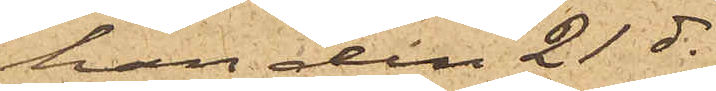han den 21 ds
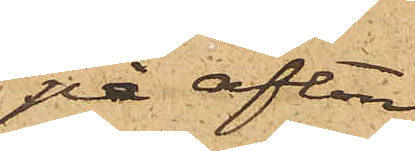på afton
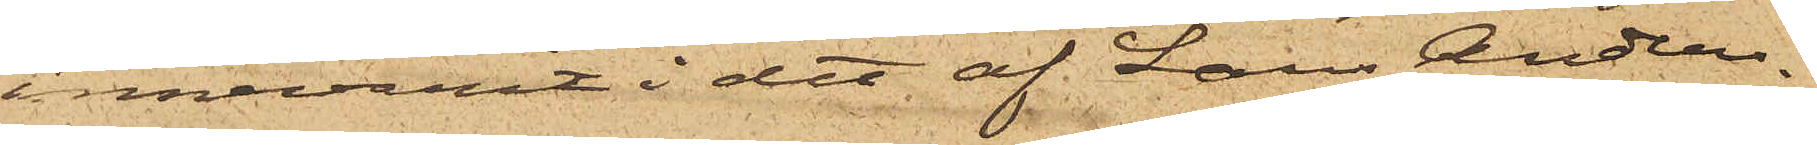innevarit i det af Lars Anders¬
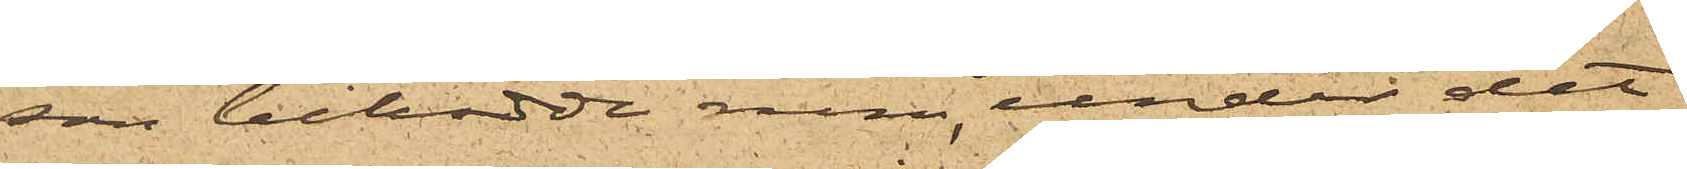son bebodde rum, under det
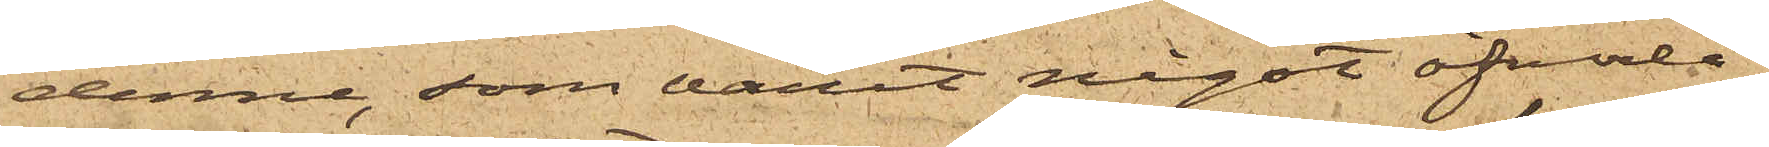denne, som varit något öfverla¬
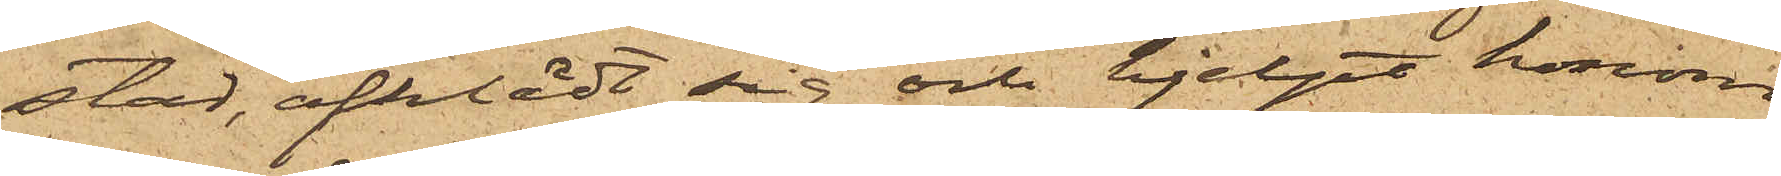stad, afklädt sig och hjelpt honom
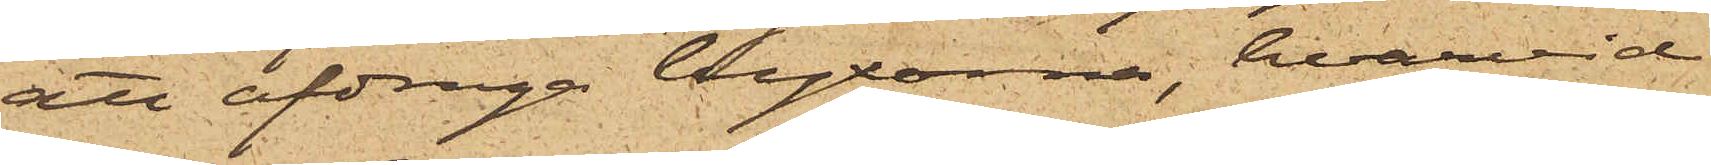att afdraga byxorna, hvarvid
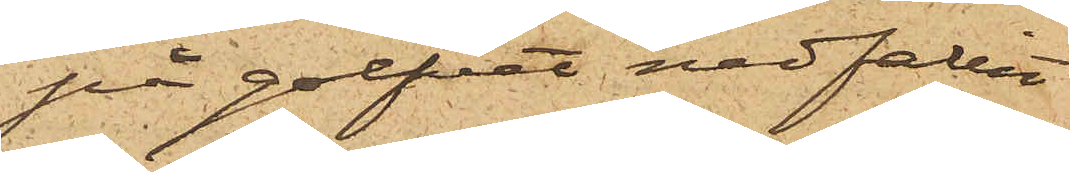på golfvet nedfallit
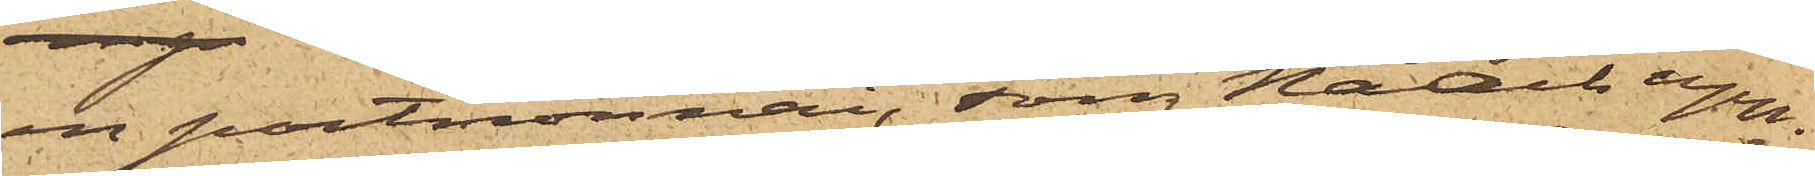 en portmonnai, som Noach upp¬
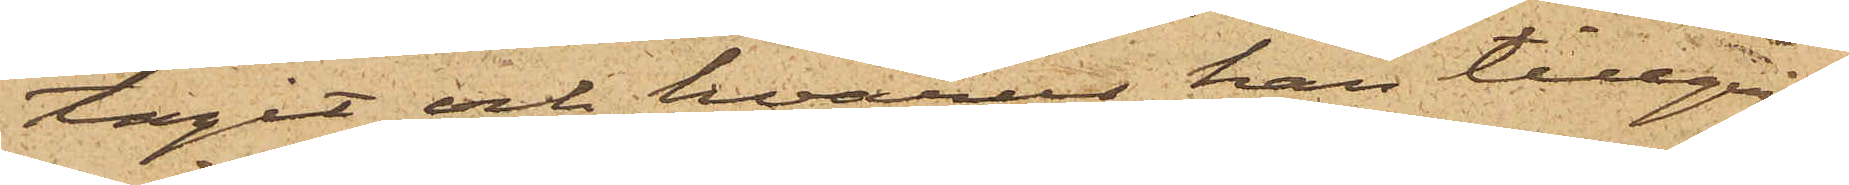tagit och hvarur han tillgri¬
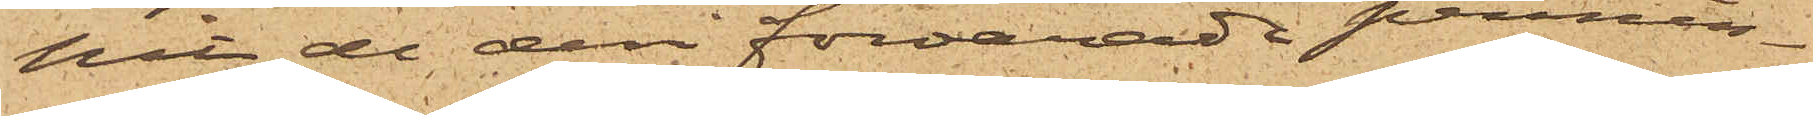pit de deri förvarade pennin¬
